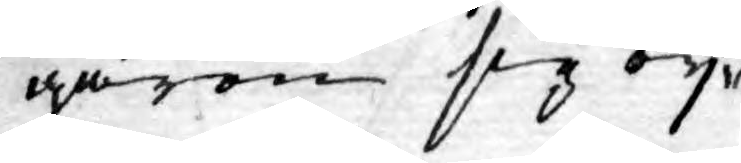garen sig ey
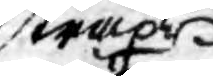straxt
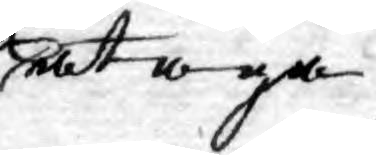åtaga
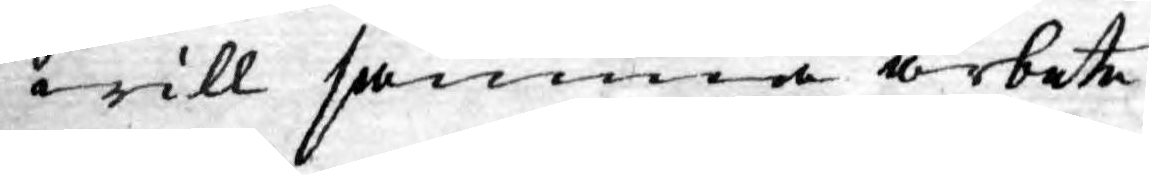will samma arbete
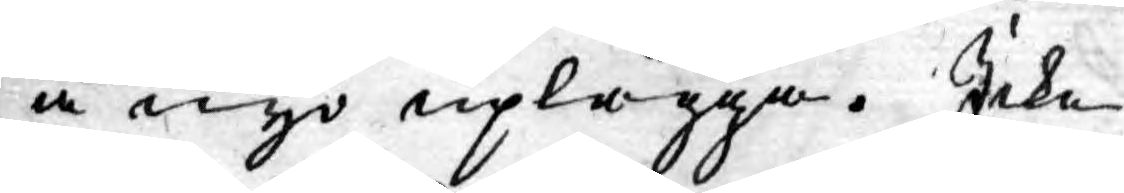å nyo uplägga. Icke
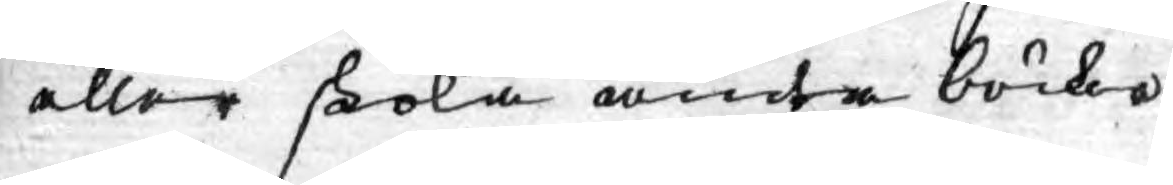aller skola andra böcker
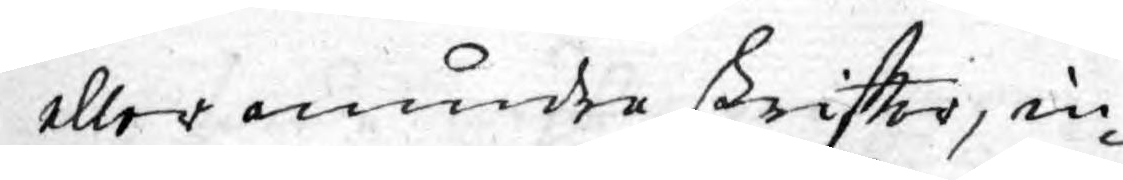eller mindre skrifter, in¬
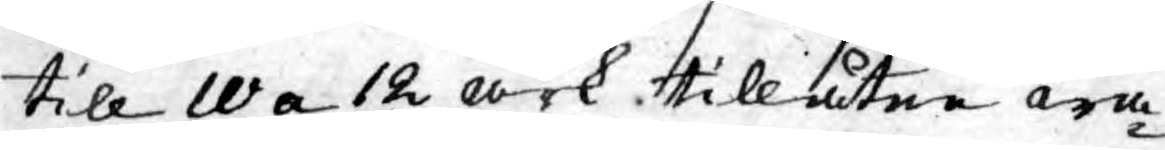till 10 a 12 ark tillåtne wa¬
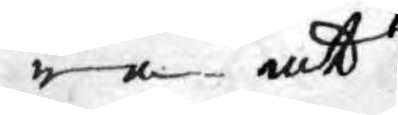ra at
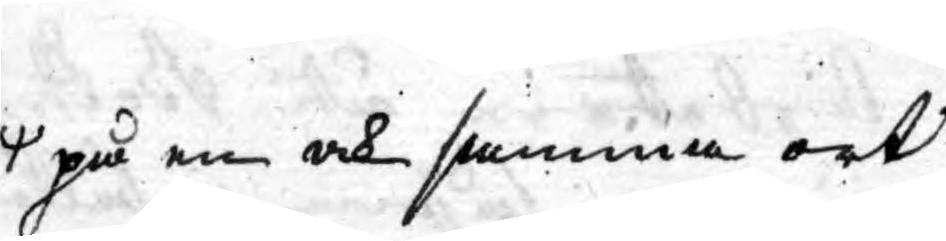på en och samma ort
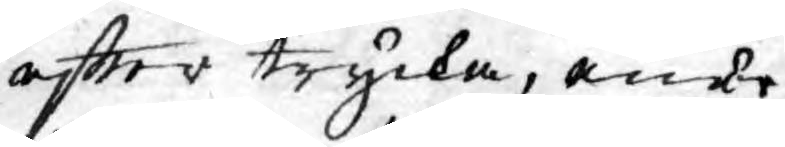efter trycka, ende
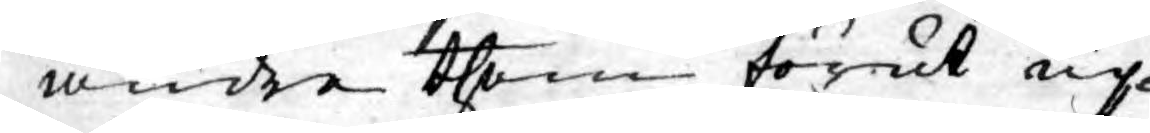andre them förut up¬
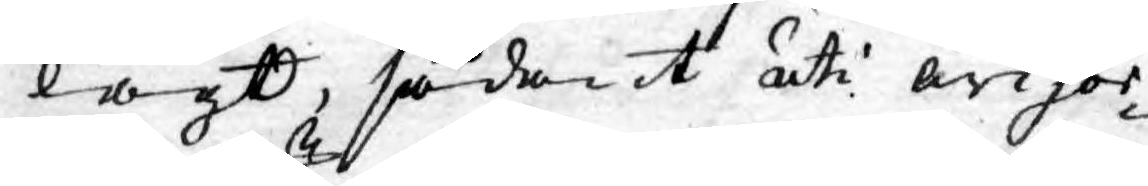lagt, sådant uti awisor¬
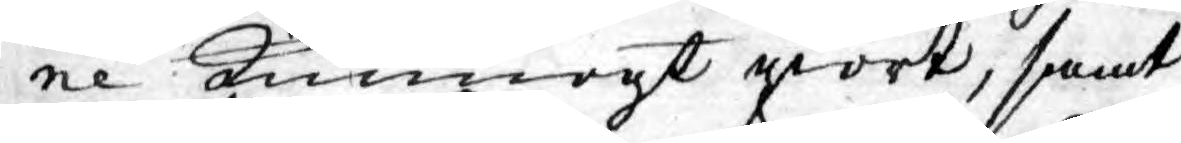ne kunnogt giort, samt
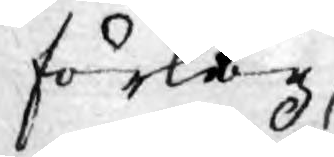förlag
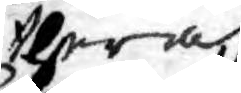theraf
